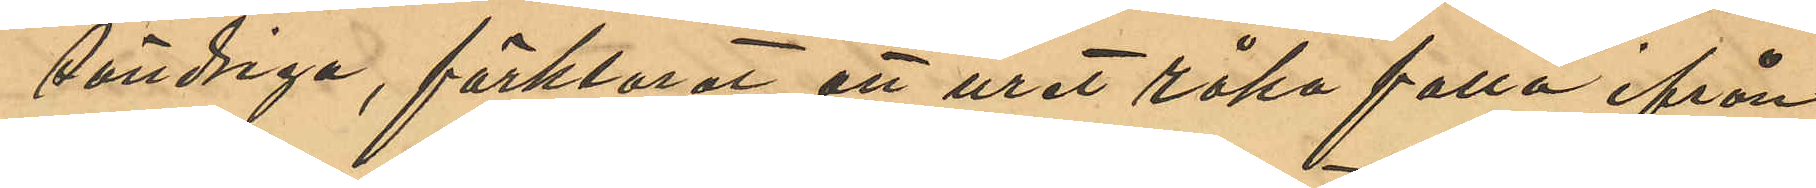söndriga, förklarat att uret råka falla ifrån
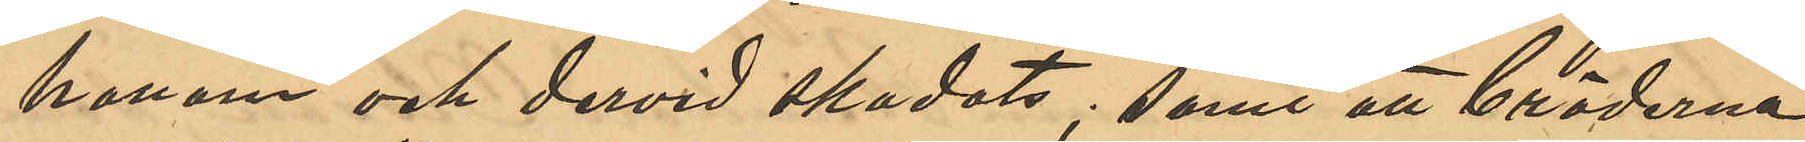honom och dervid skadats; samt att bröderna
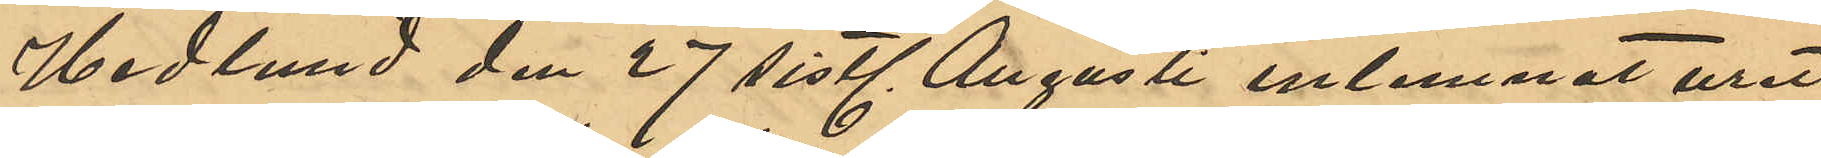Hedlund den 27 sistl. Augusti inlemnat uret
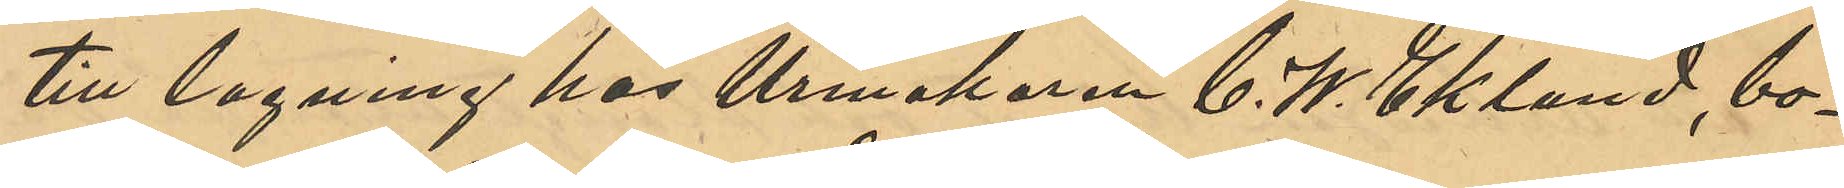till lagning hos Urmakaren C. W. Eklund, bo¬
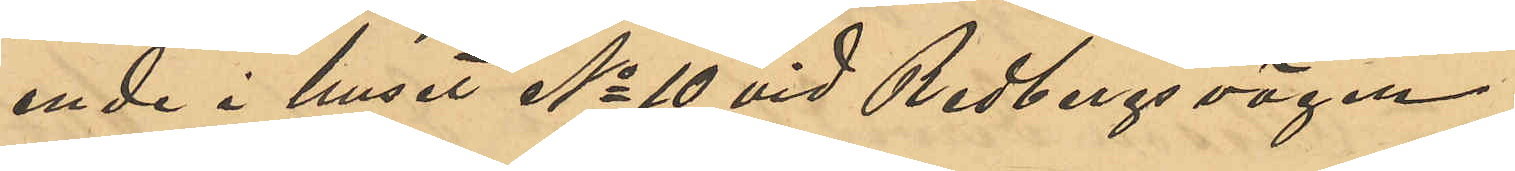ende i huset No 10 vid Redbergsvägen.
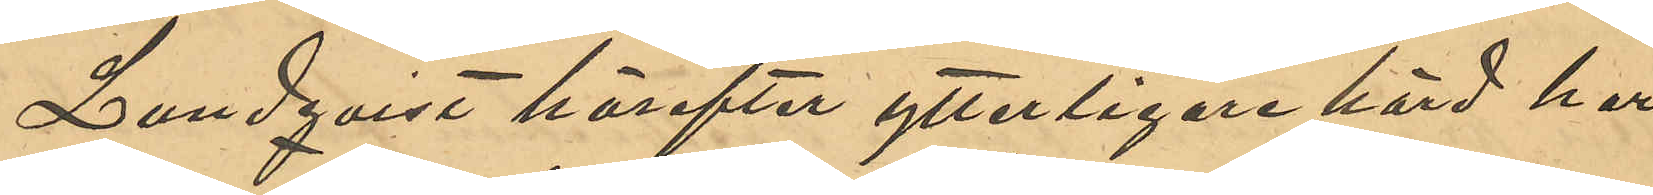Lundqvist härefter ytterligare hörd har
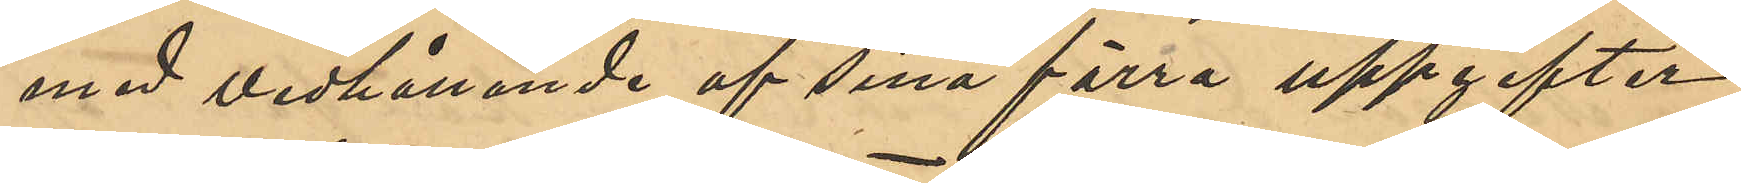med vidhållande af sina förra uppgifter
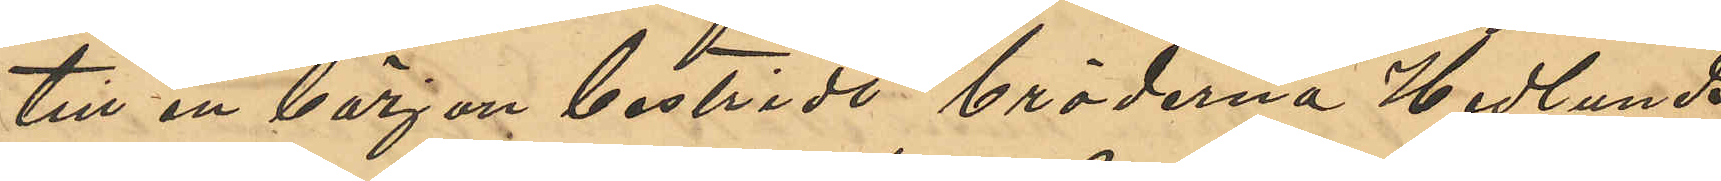till en början bestridt bröderna Hedlunda
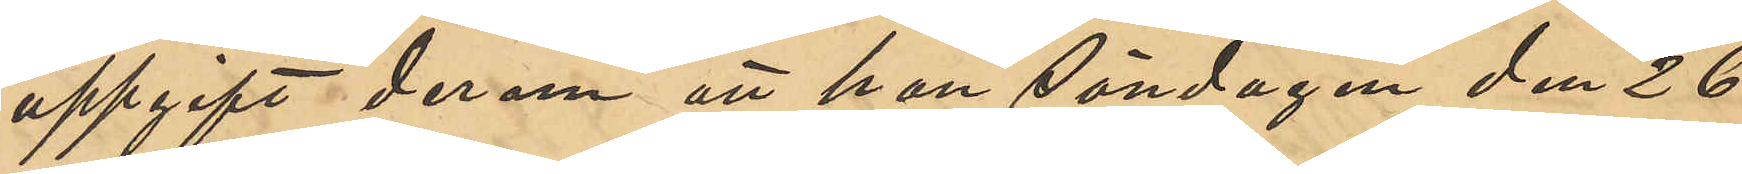uppgift derom att han Söndagen den 26
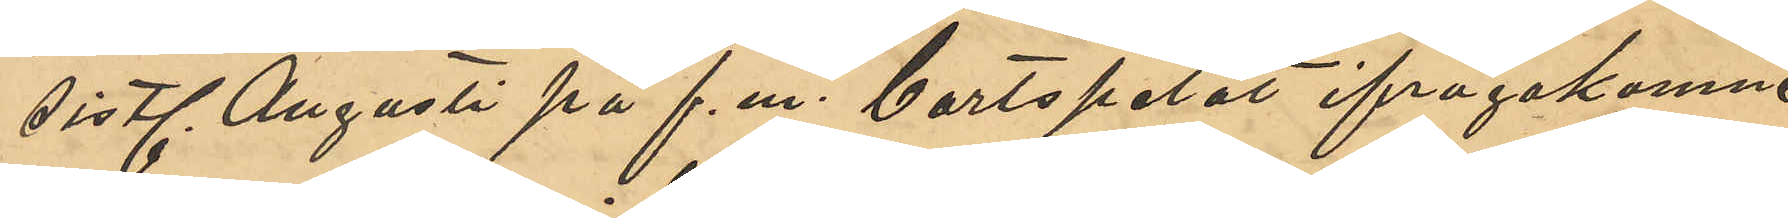sistl. Augusti på f. m. bortspelat ifrågakomne
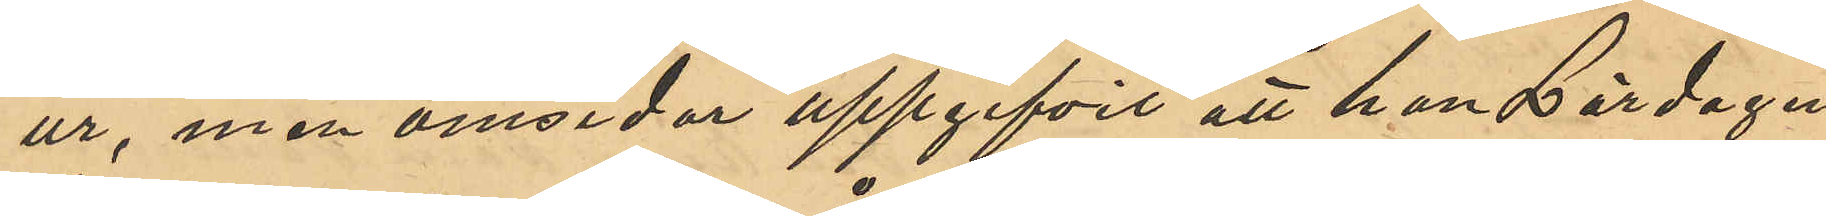ur, men omsider uppgifivt att han Lördagen
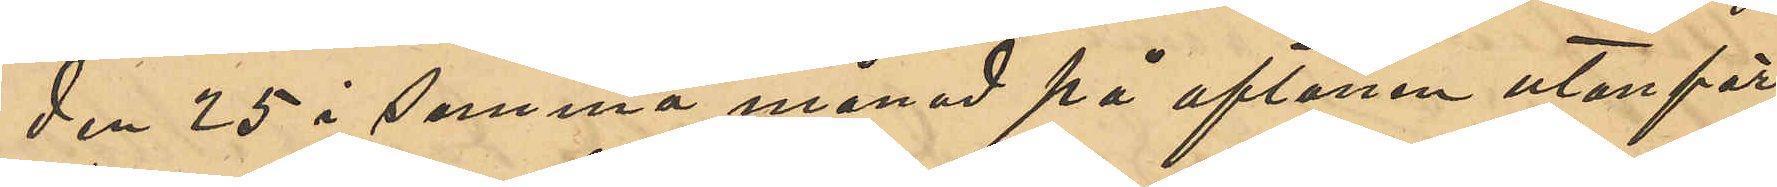den 25 i denna månad på aftonen utanför
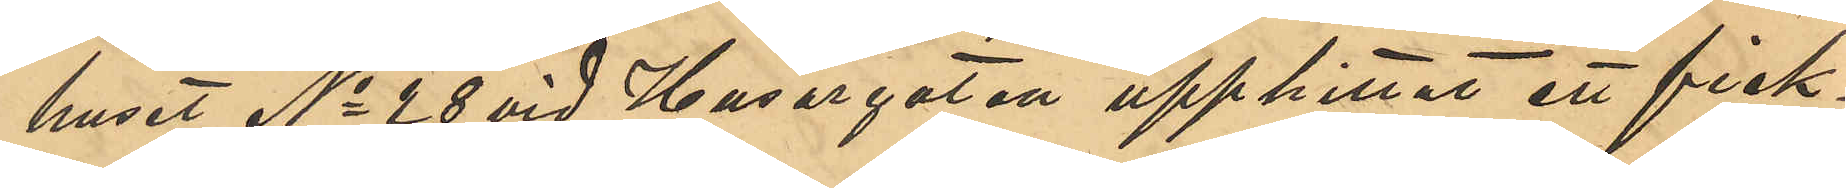huset No 28 vid Husargatan upphittat ett fick¬
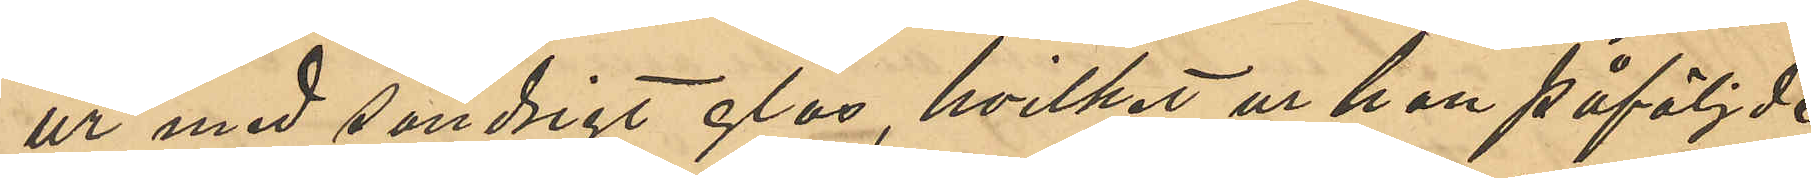ur med söndrigt glas, hvilket ur han påföljde
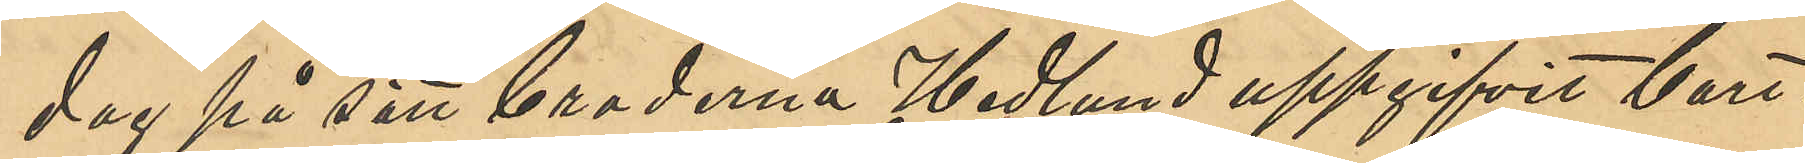dag på sätt broderna Hedlund uppgifvit bort¬
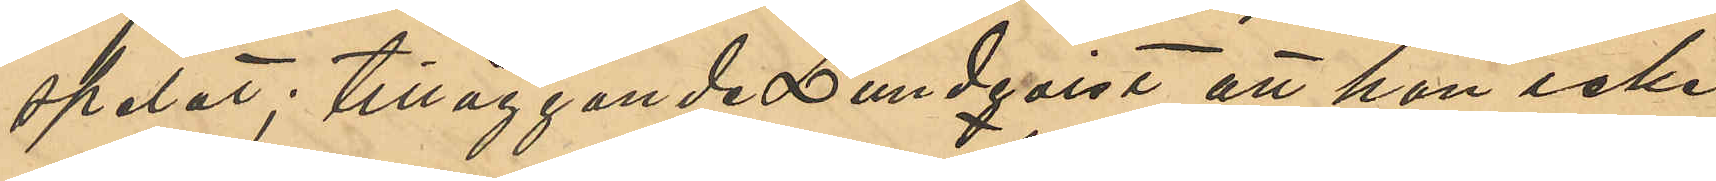spelat; tilläggande Lundqvist att han icke
